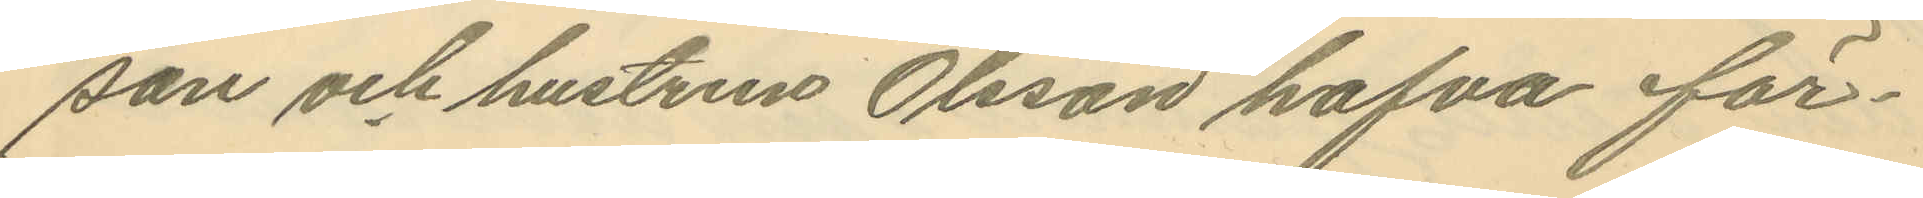son och hustrun Olsson hafva för¬
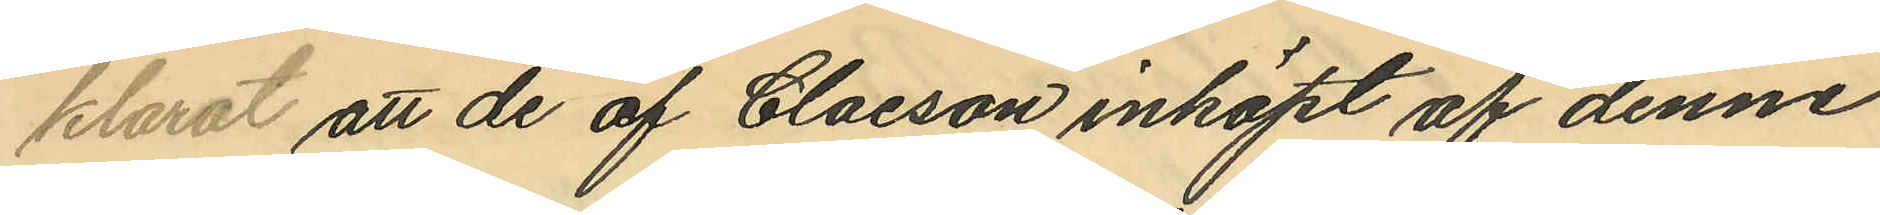klarat att de af Claeson inköpt af denne
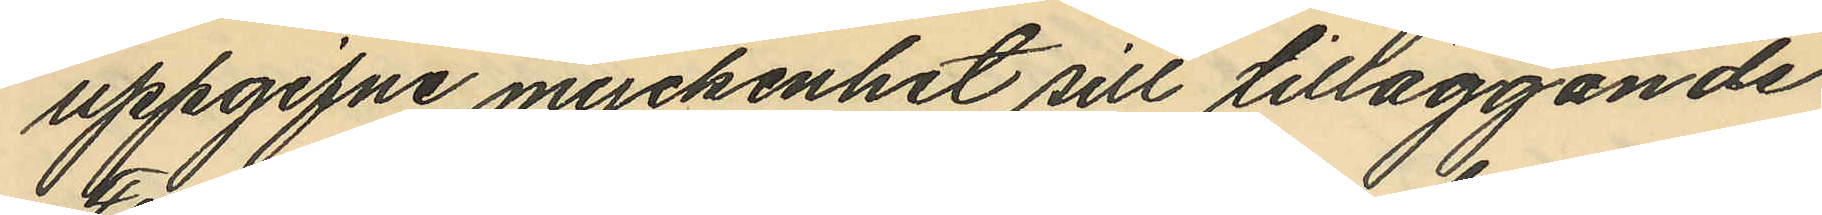uppgifne myckenhet sill tilläggande
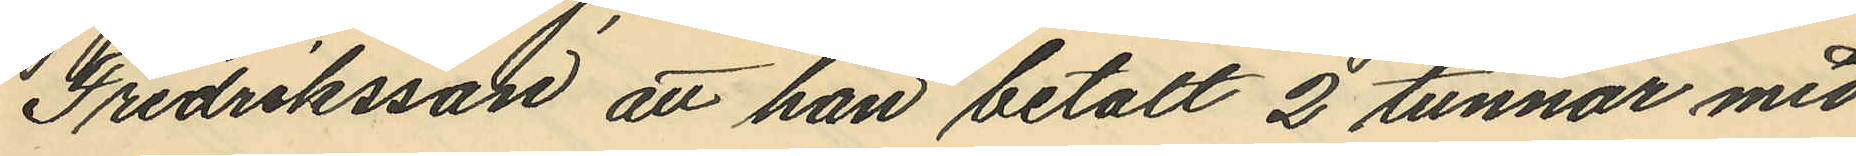Fredriksson att han betalt 2 tunnor med
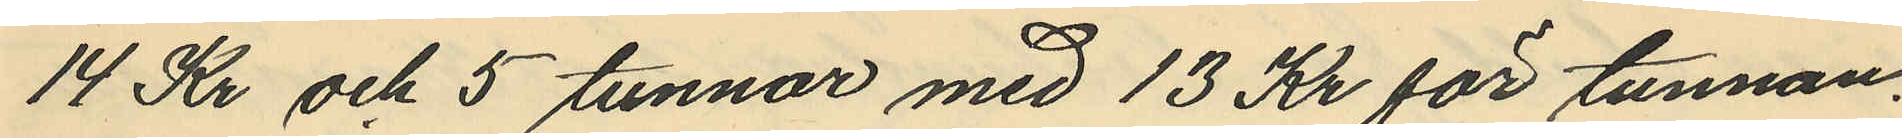14 Kr och 5 tunnor med 13 Kr för tunnan.
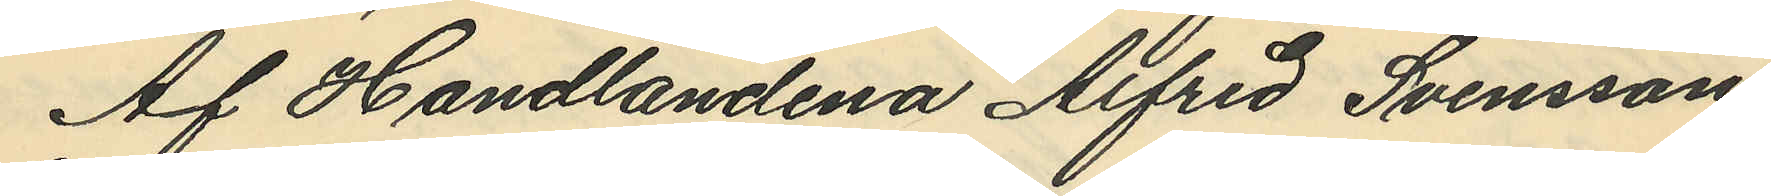Af Handlandena Alfred Svensson
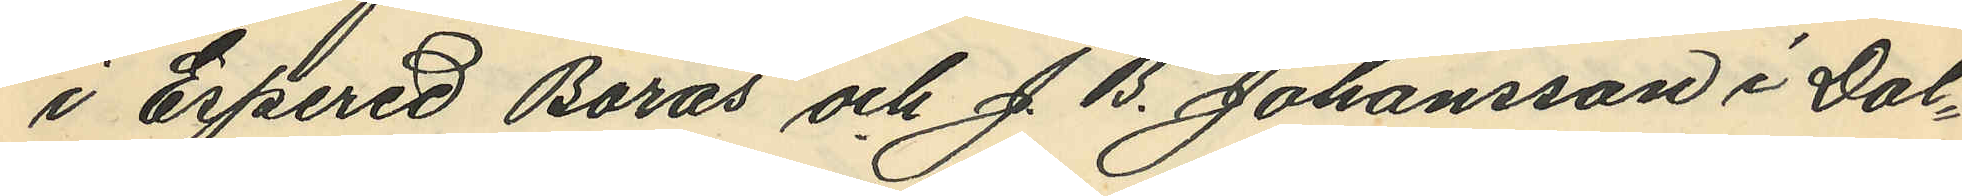i Espered Borås och J. B. Johansson i Dal¬
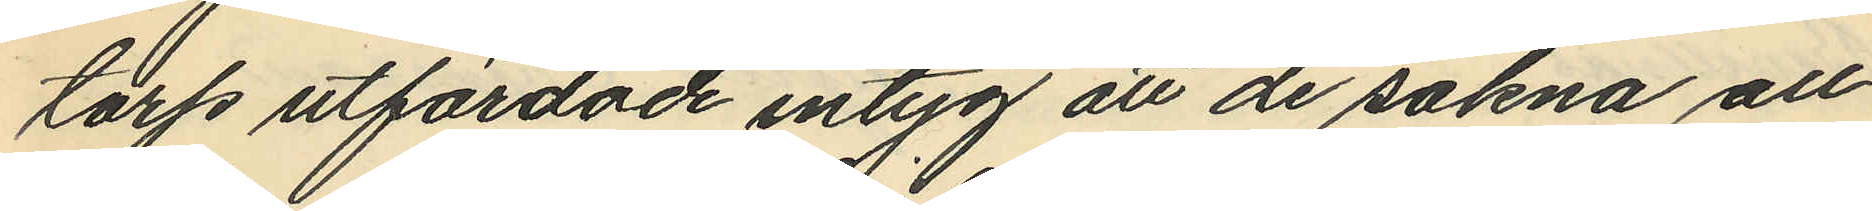torp utfärdade intyg att de sakna all
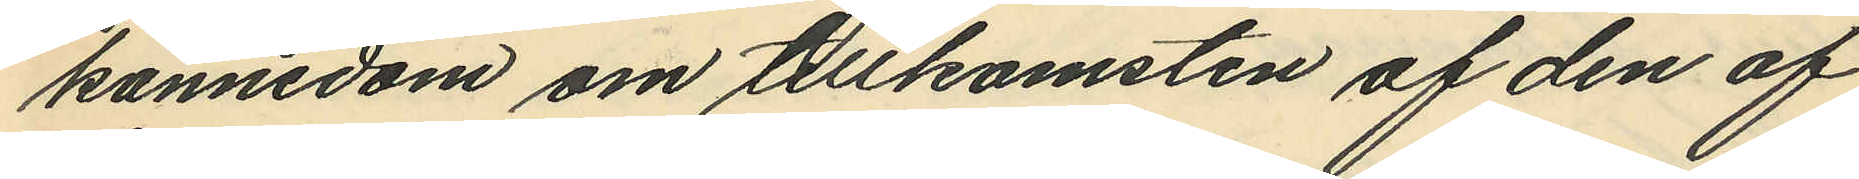kännedom om tillkomsten af den af
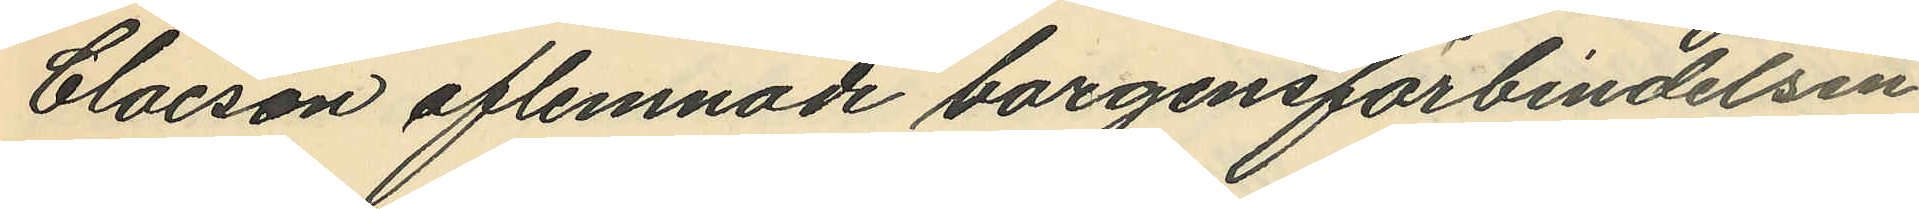Claeson aflemnade borgensförbindelsen
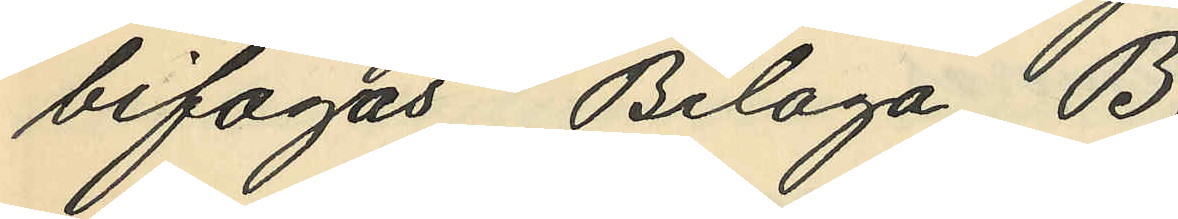bifogas, Bilaga B.
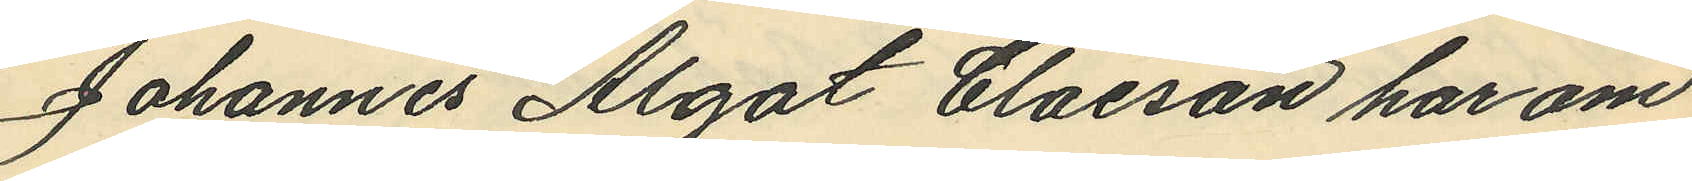Johannes Algot Claeson har om
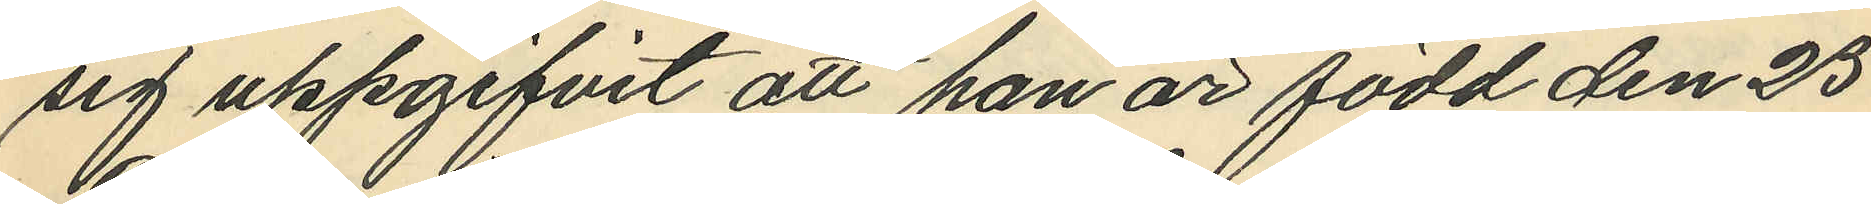sig uppgifvit att han är född den 25
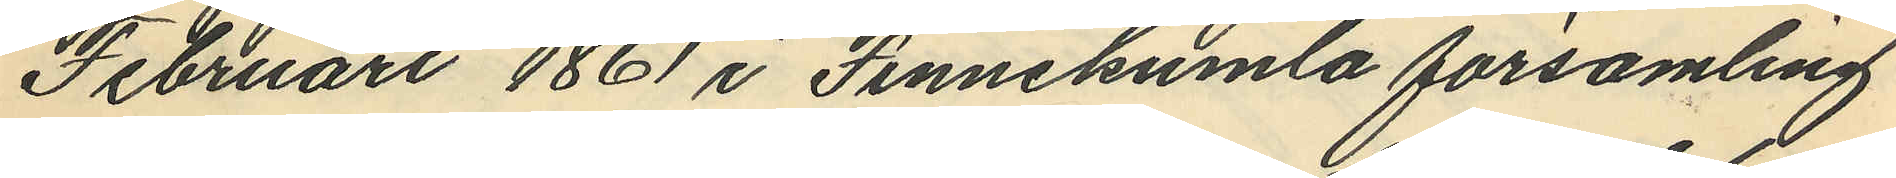Februari 1861 i Finnekumla församling
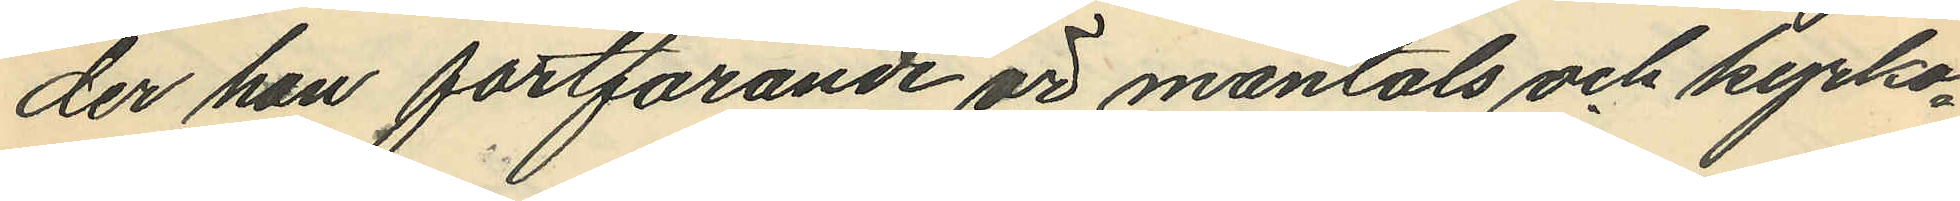der han fortfarande är mantals och kyrko¬
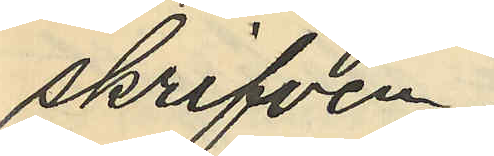skrifven.
